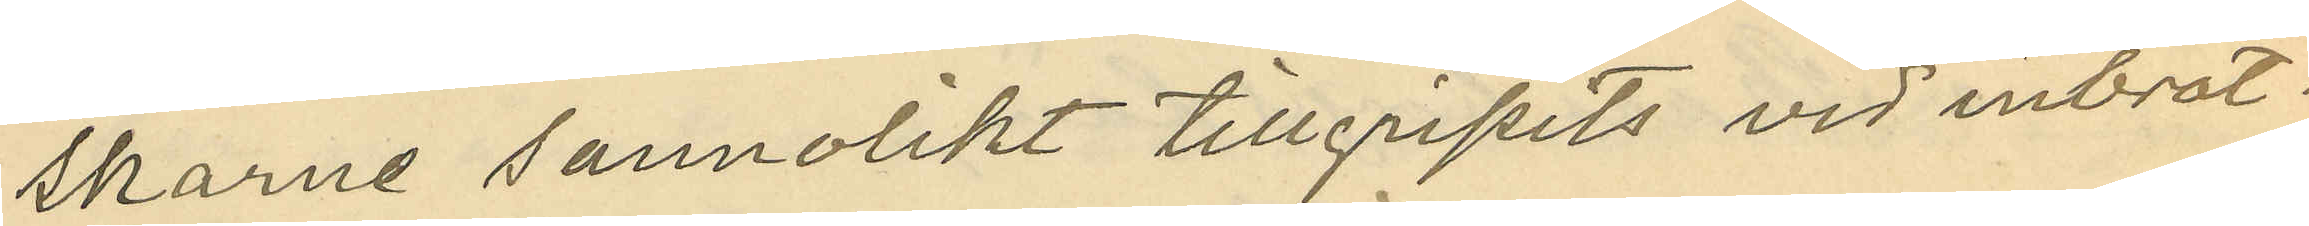skarne sannolikt tillgripits vid inbrot¬
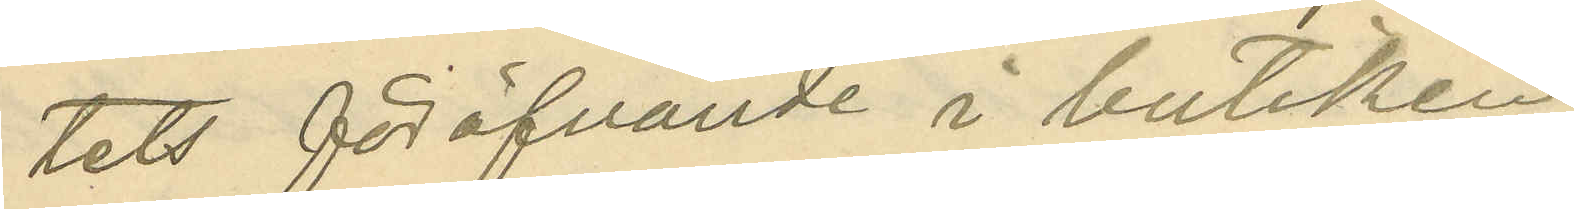tets föröfvande i butiken.
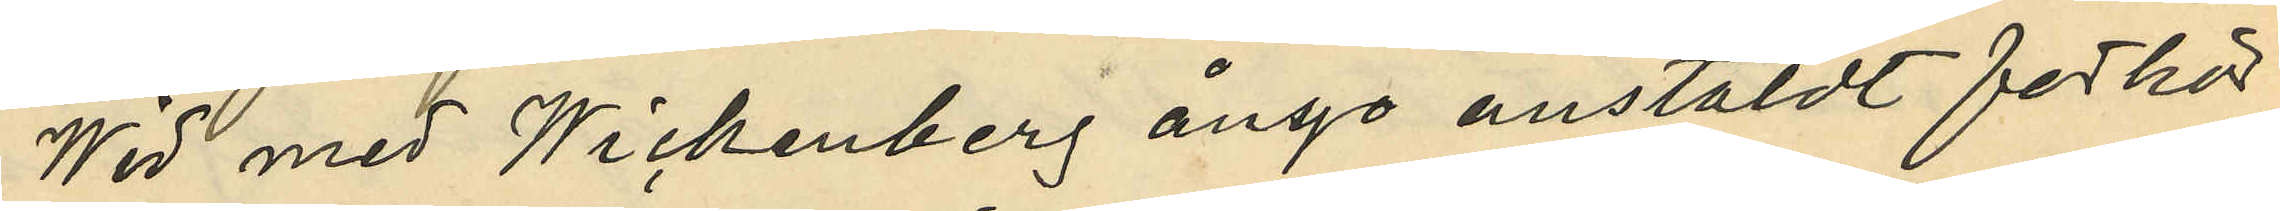Wid med Wickenberg ånyo anstäldt förhör
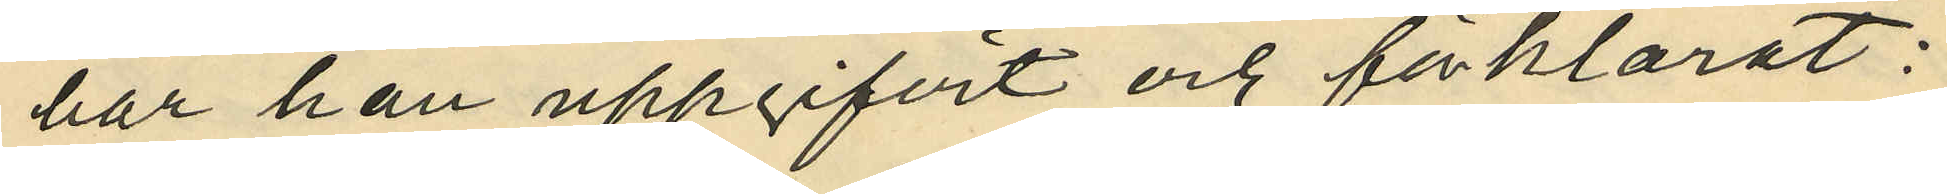har han uppgifvit och förklarat:
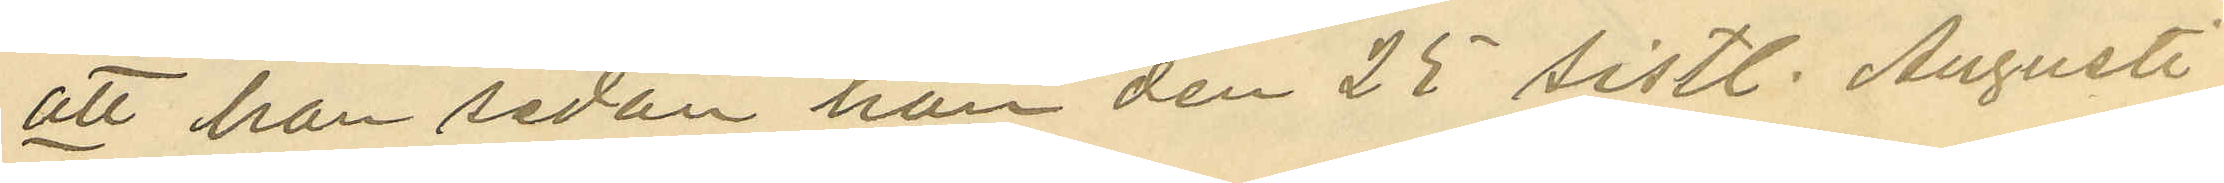att han sedan han den 25 sistl. Augusti
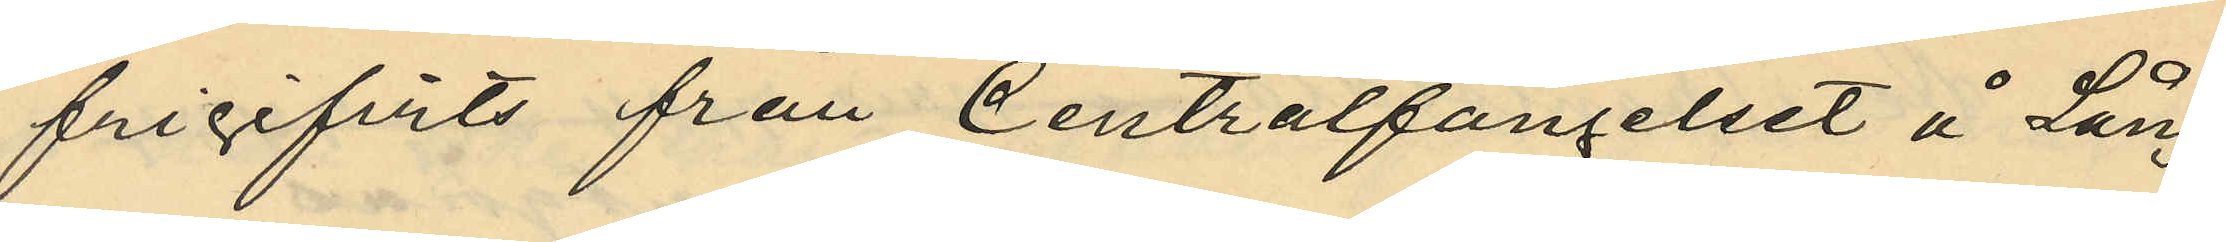frigifvits från Centralfängelset å Lång¬
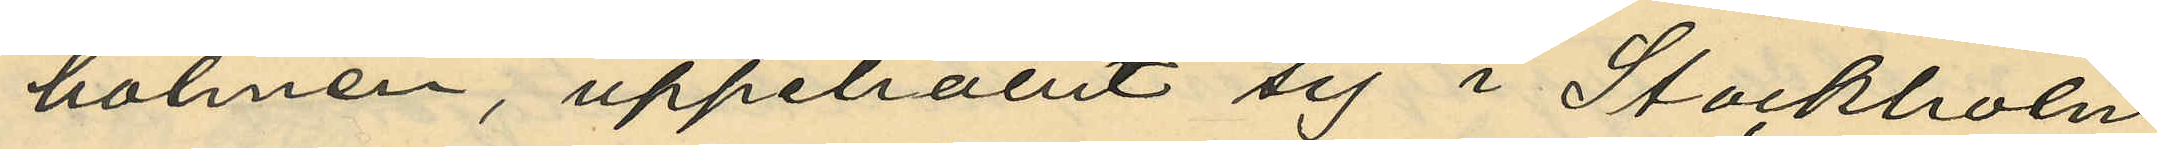holmen, uppehållit sig i Stockholm
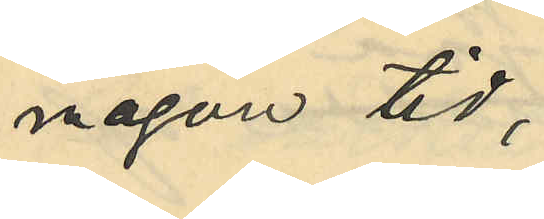någon tid,
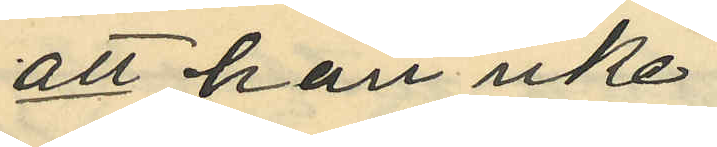att han icke
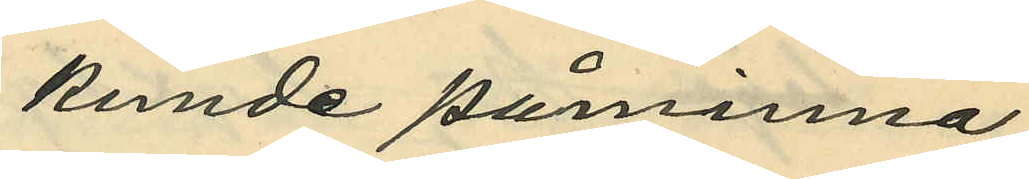kunde påminna
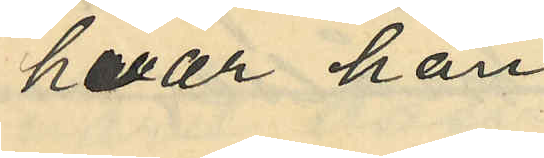hvar han
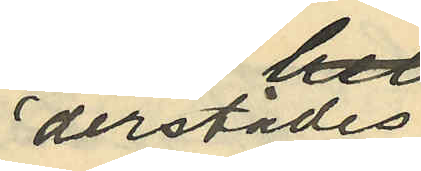derstädes
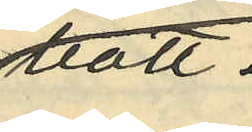bott;
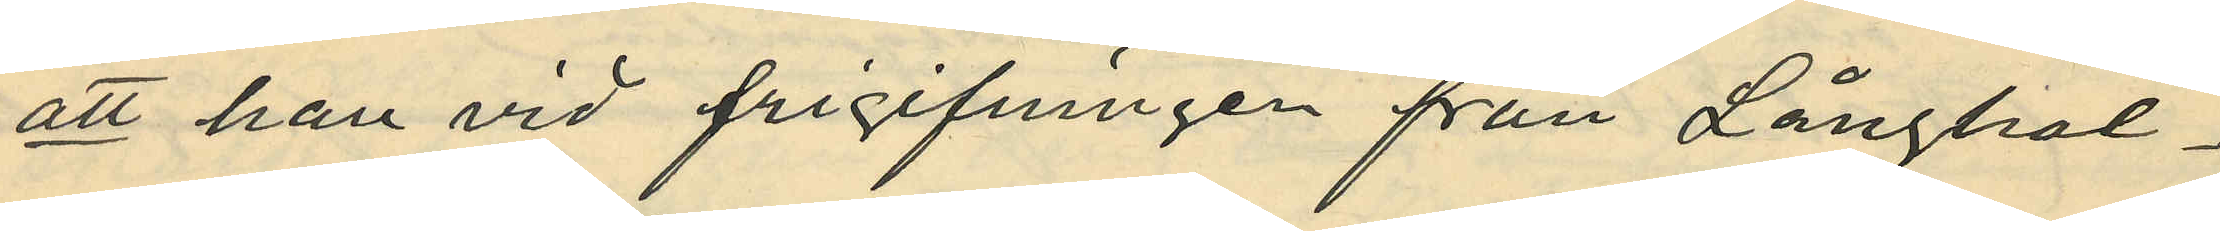att han vid frigifningen från Långhol¬
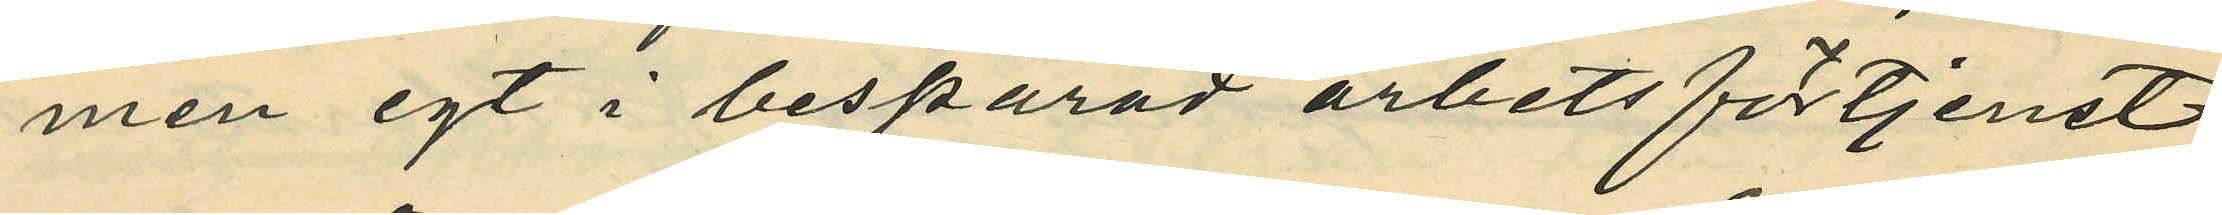men egt i besparad arbetsförtjenst
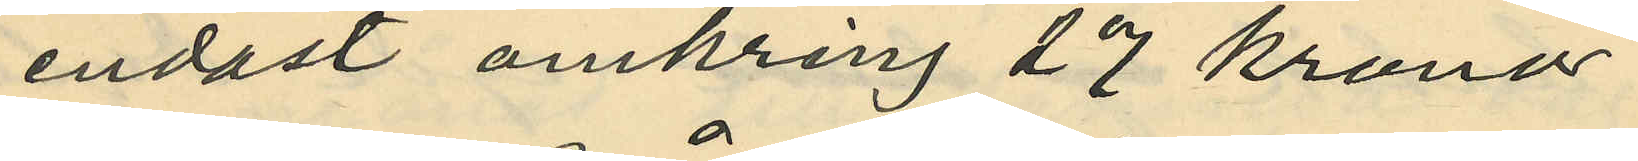endast omkring 27 kronor
